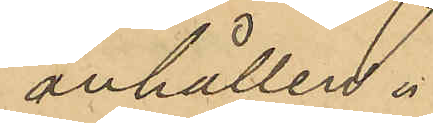anhållen.
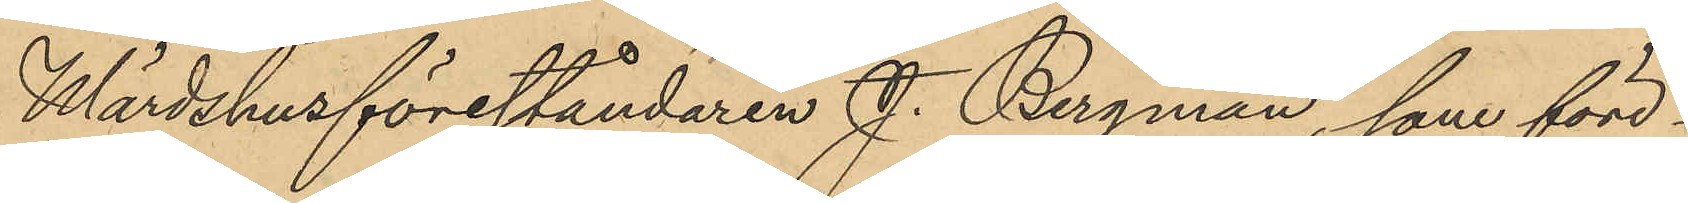Wärdshusföreståndaren J. Bergman, som före¬
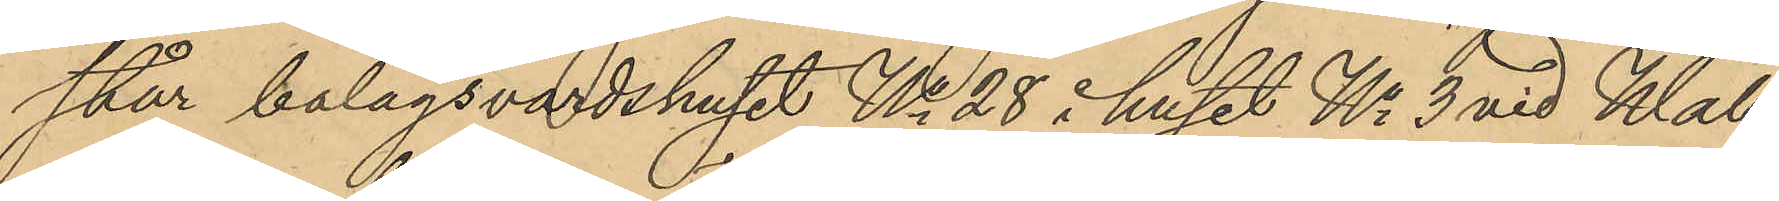står bolagsvärdshuset No 28 i huset No 3 vid Wall¬
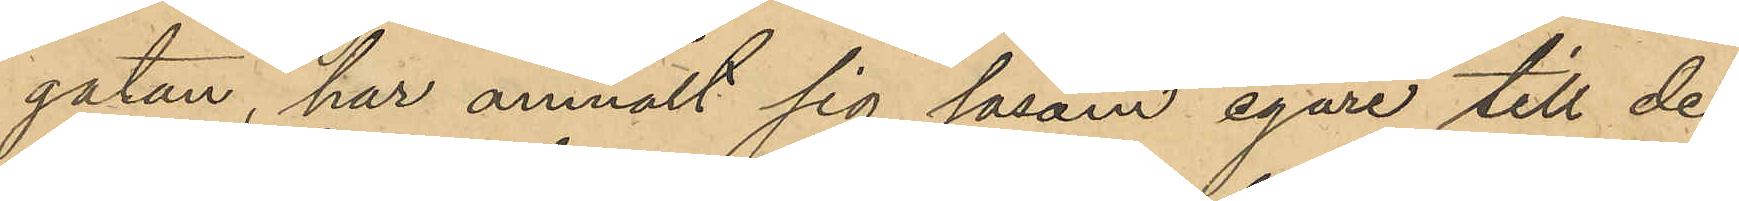gatan, har anmält sig såsom egare till de
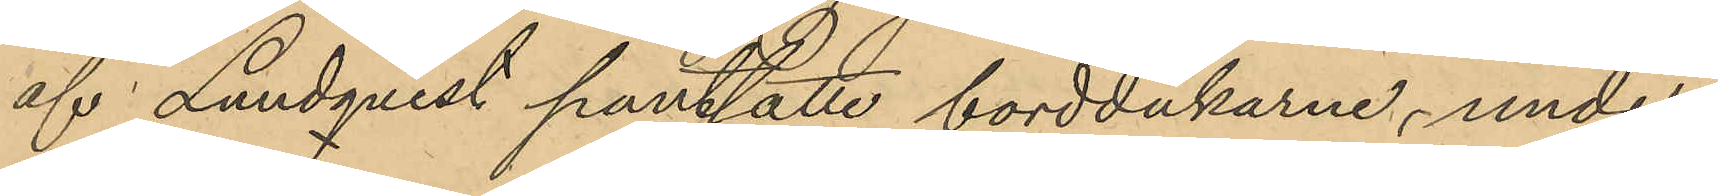af Lundqvist pantsatte borddukarne, under
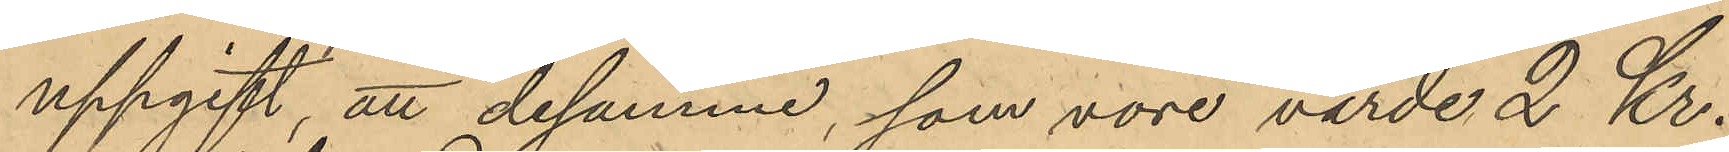uppgift, att desamma, som vore värde 2 Kr.
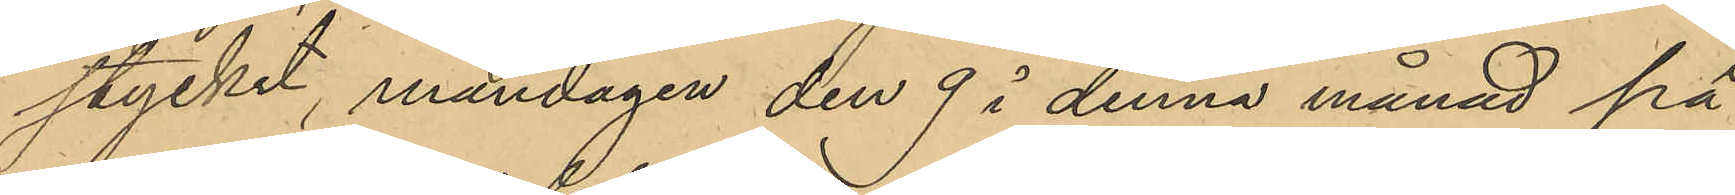stycket, måndagen den 9 i denna månad på
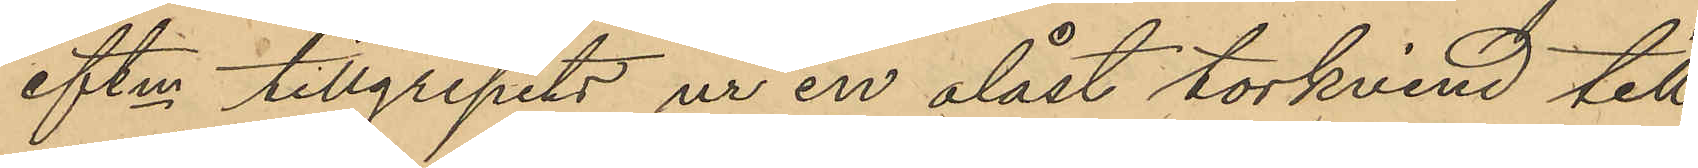eftm tillgripits ur en olåst torkvind till
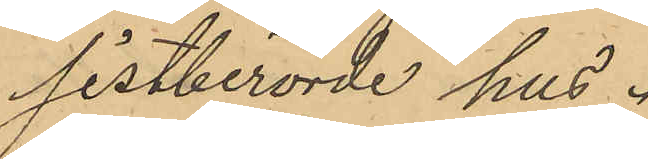sistberörde hus.
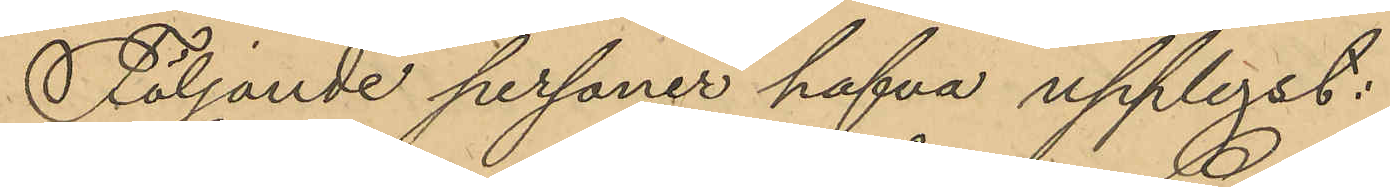Följande personer hafva upplyst:
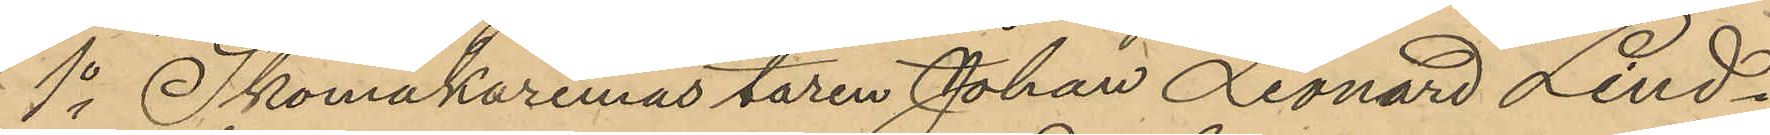1o Skomakaremästaren Johan Leonard Lind¬
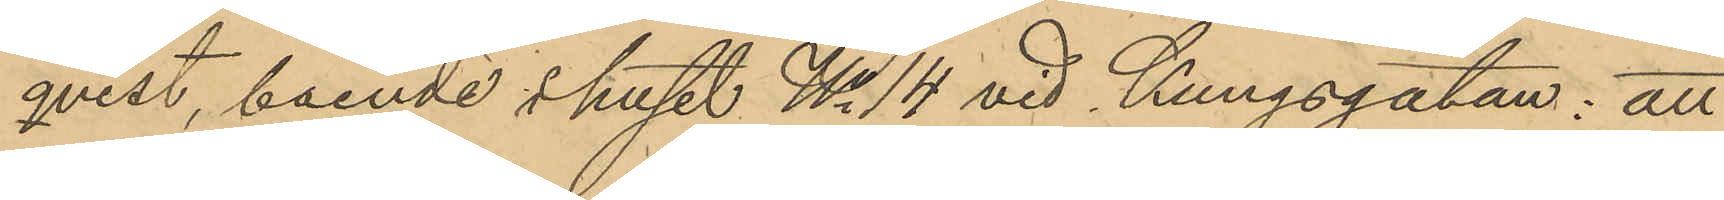qvist, boende i huset No 14 vid Kungsgatan: att
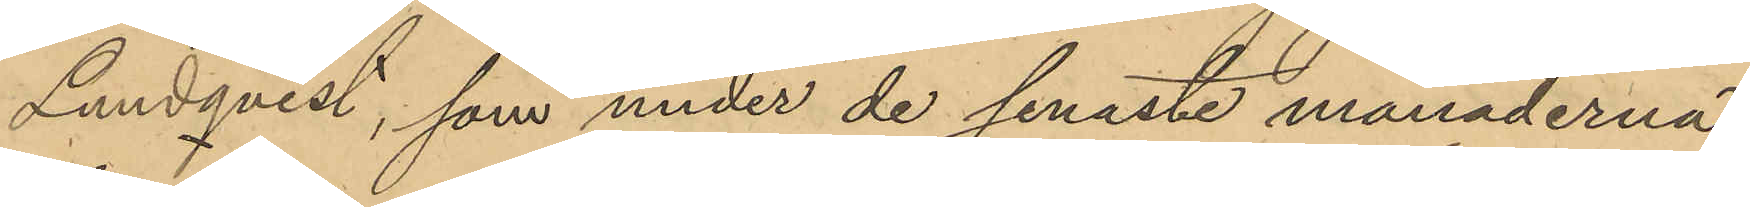Lundqvist, som under de senaste månaderna
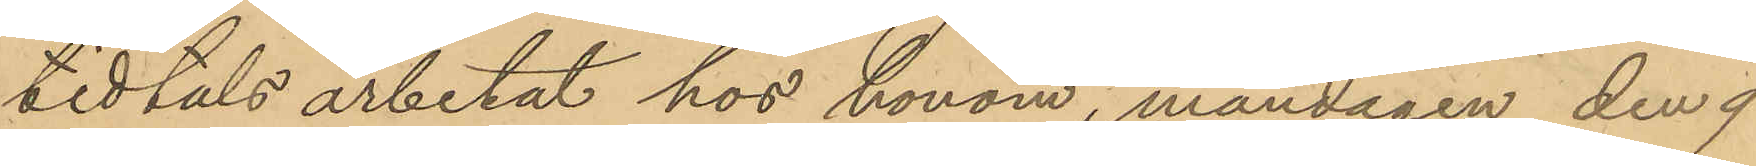tidtals arbetat hos honom, måndagen den 9
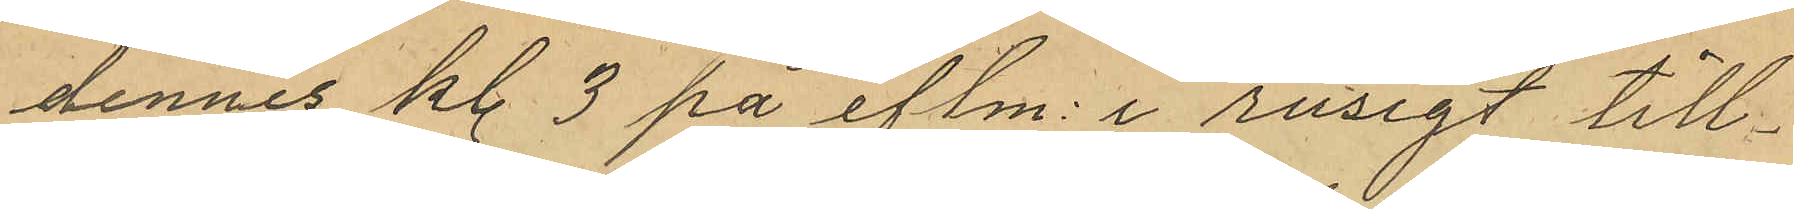dennes kl. 3 på eftm. i rusigt till¬
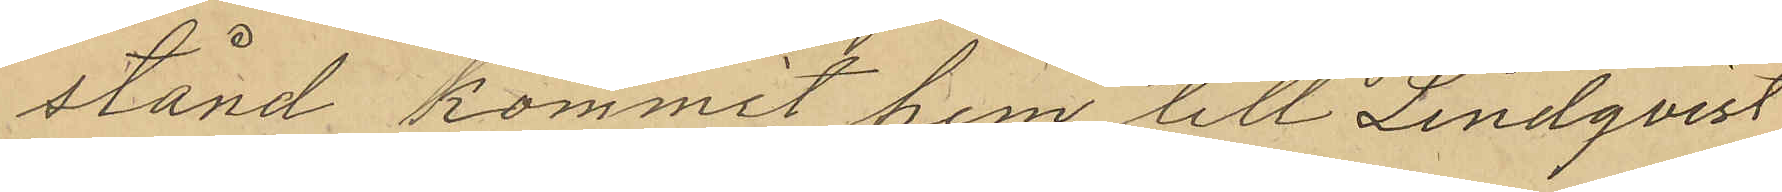stånd kommit hem till Lindqvist
